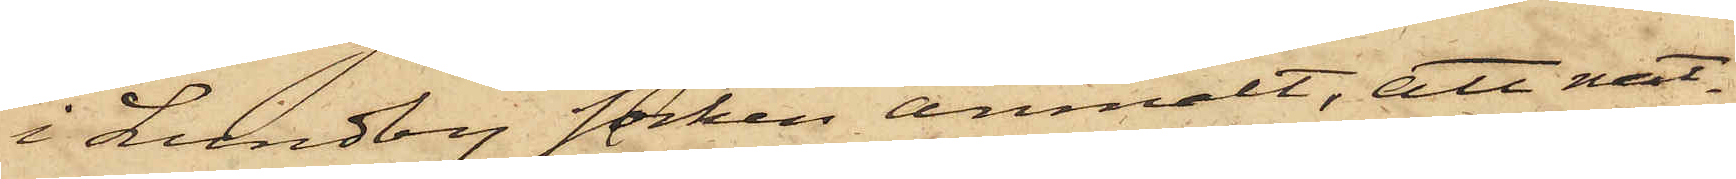i Lundby socken anmält, att nat¬
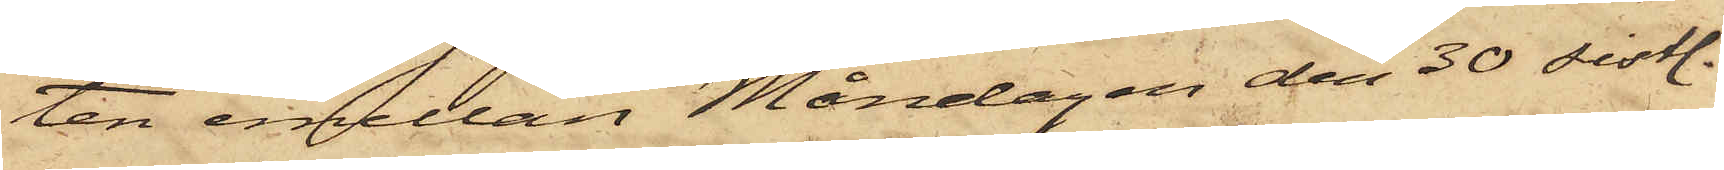ten emellan Måndagen den 30 sistl.
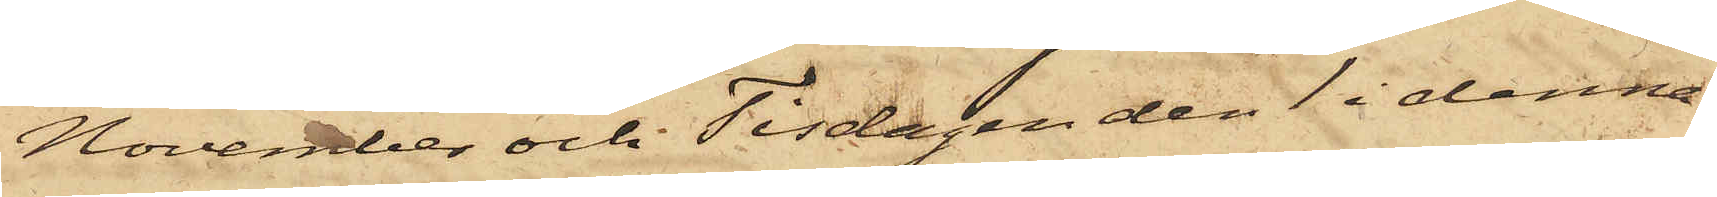November och Tisdagen den 1 i denna
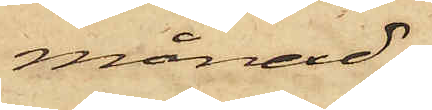månad
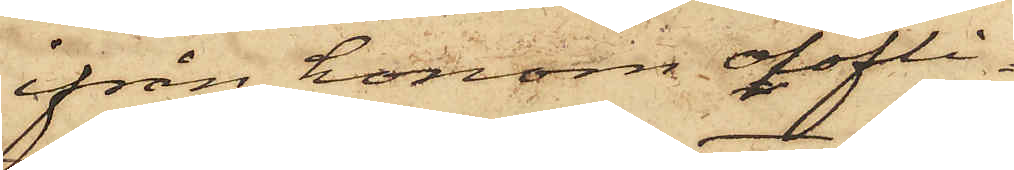ifrån honom olofli¬
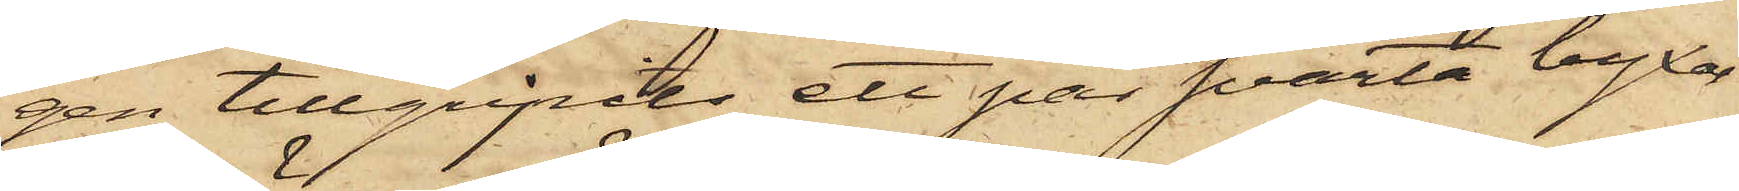gen tillgripits ett par svarta byxor
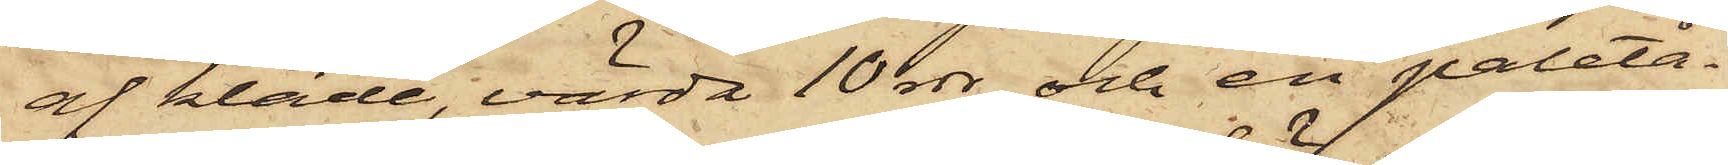af kläde, värda 10 rdr och en paletå¬
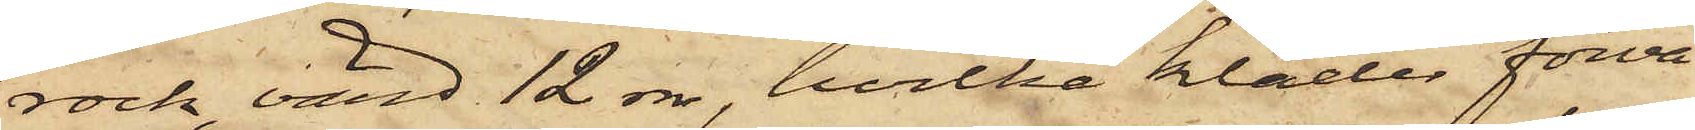rock, värd 12 rdr, hvilka kläder förva¬
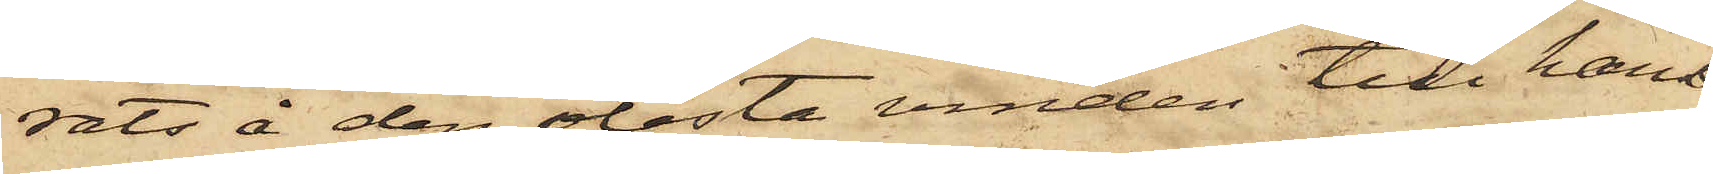rats å den olåsta vinden till hans
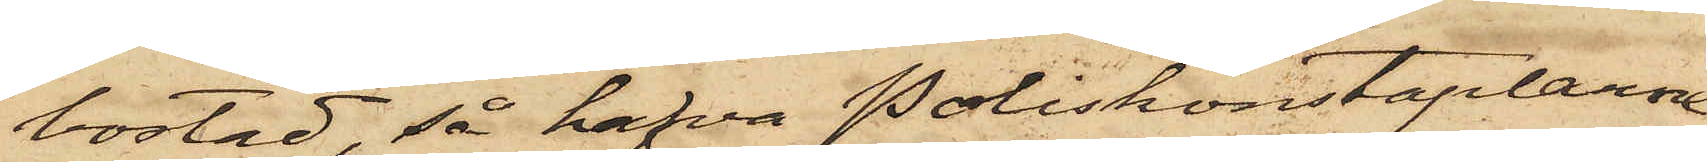bostad, så hafva Poliskonstaplarne
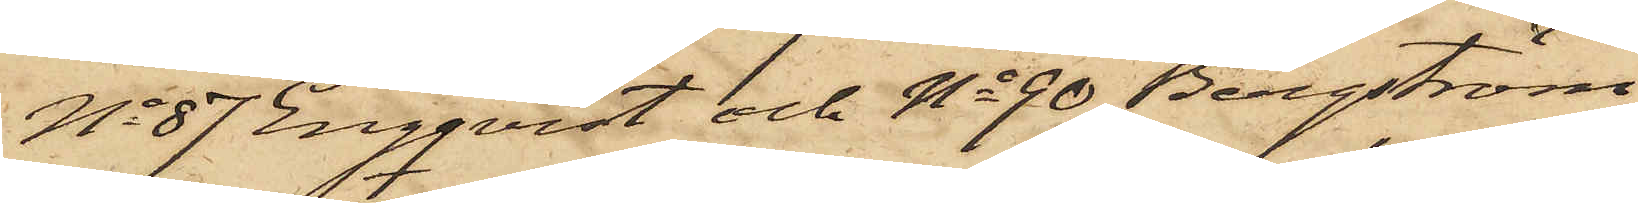No 87 Engqvist och No 90 Bergström
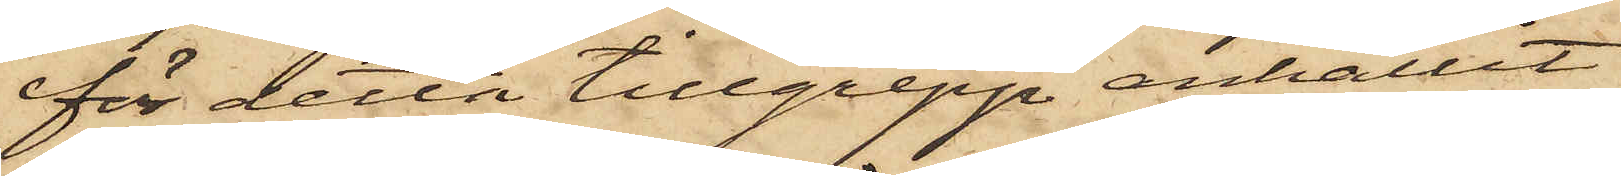för detta tillgrepp anhållit
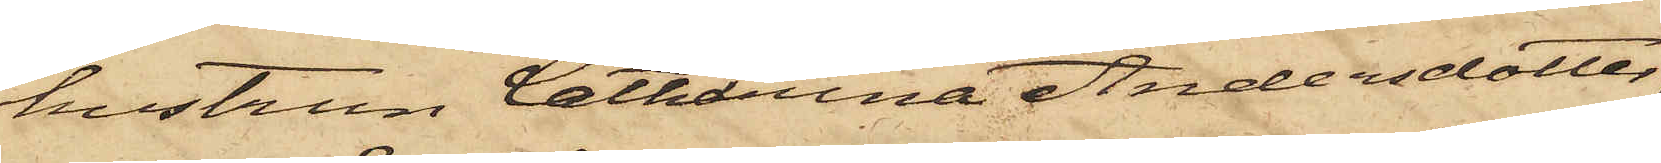hustrun Catharina Andersdotter,
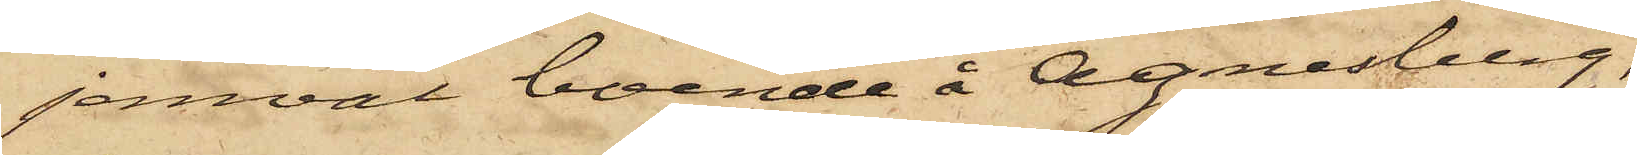jemväl boende å Agnesberg,
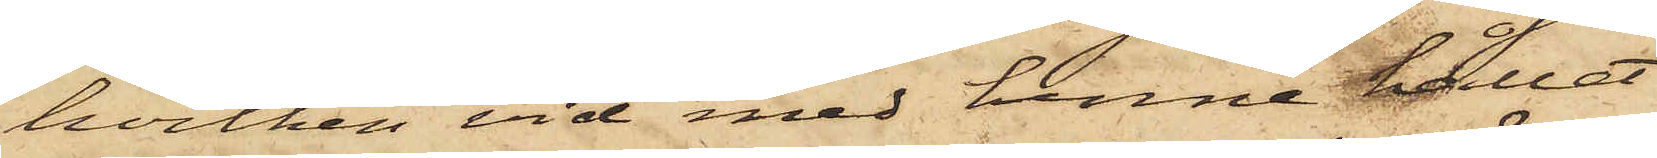hvilken vid med henne hållet
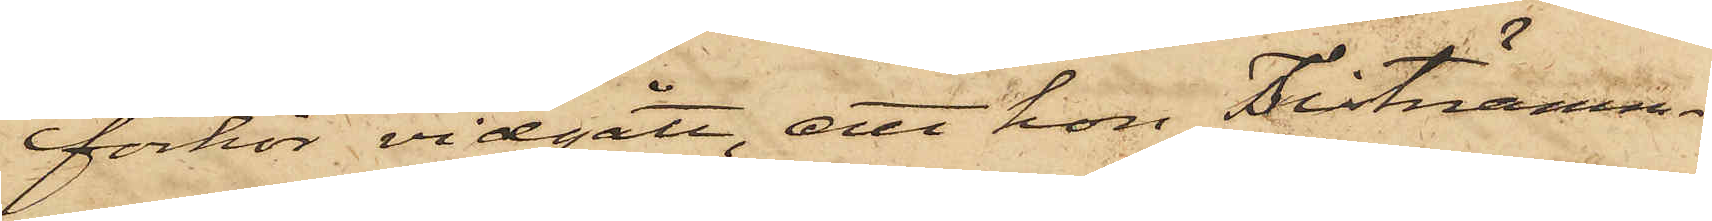förhör vidgått, att hon sistnämn¬
